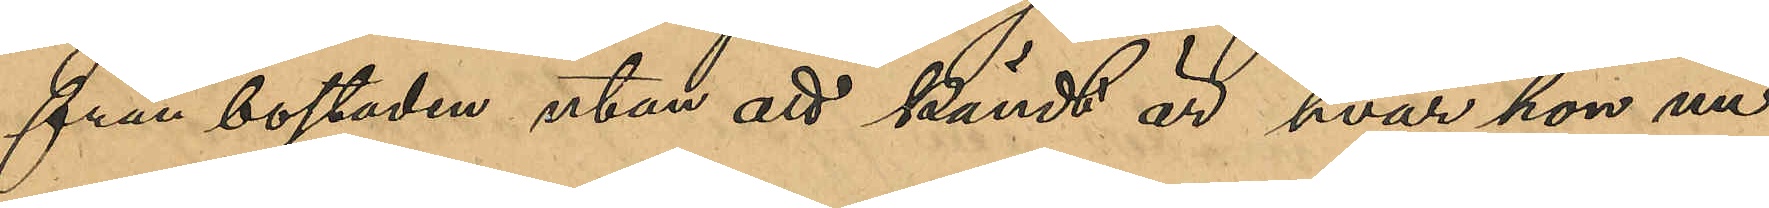från bostaden utan att känt är hvar hon nu
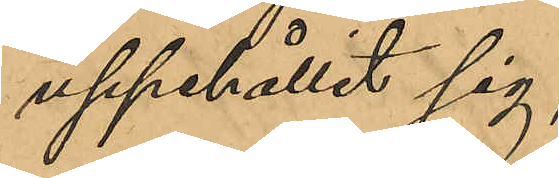uppehållit sig.
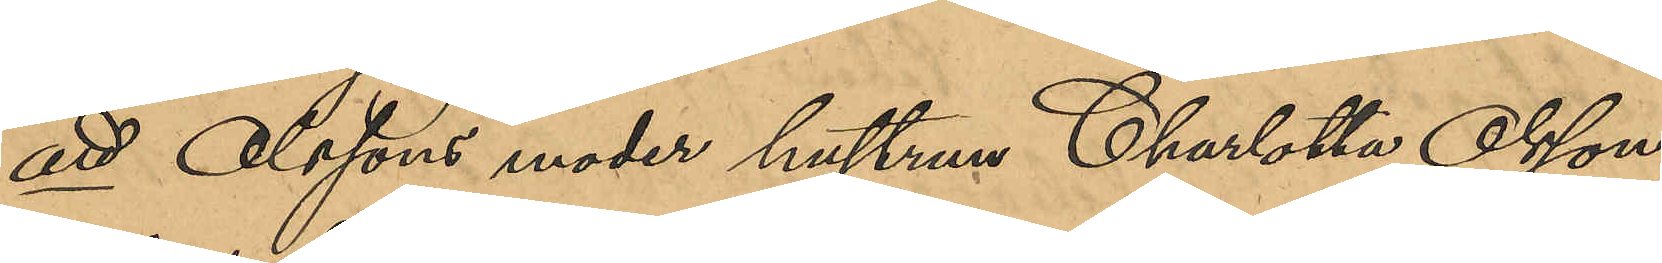att Olssons moder hustrun Charlotta Olsson,
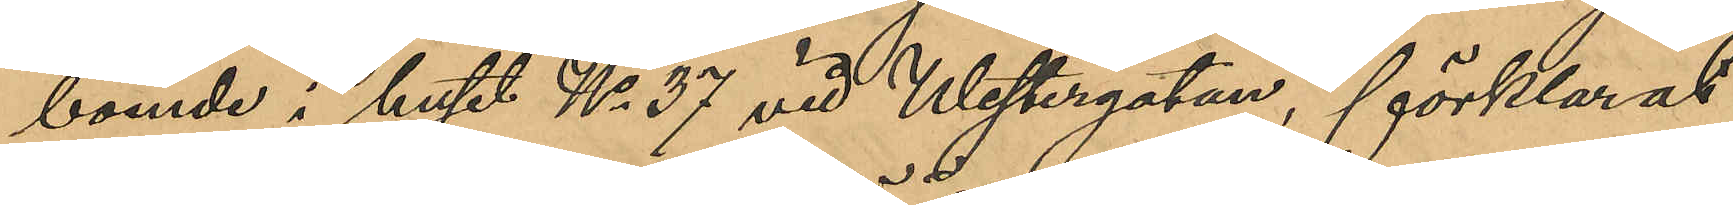boende i huset No 37 vid Westergatan, förklarat
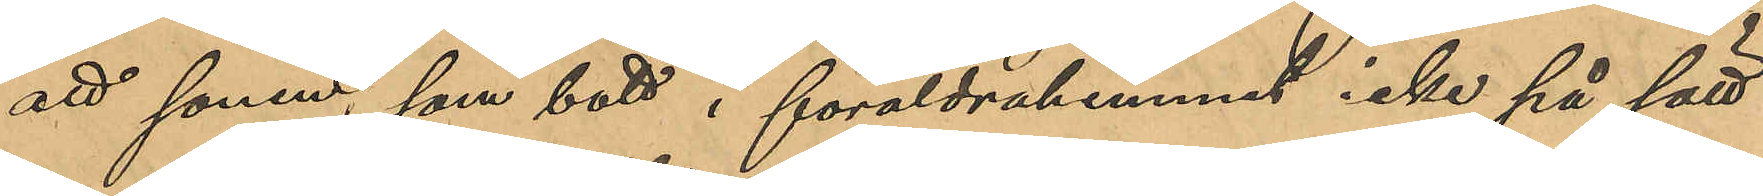att sonen, som bott i föräldrahemmet icke på sätt
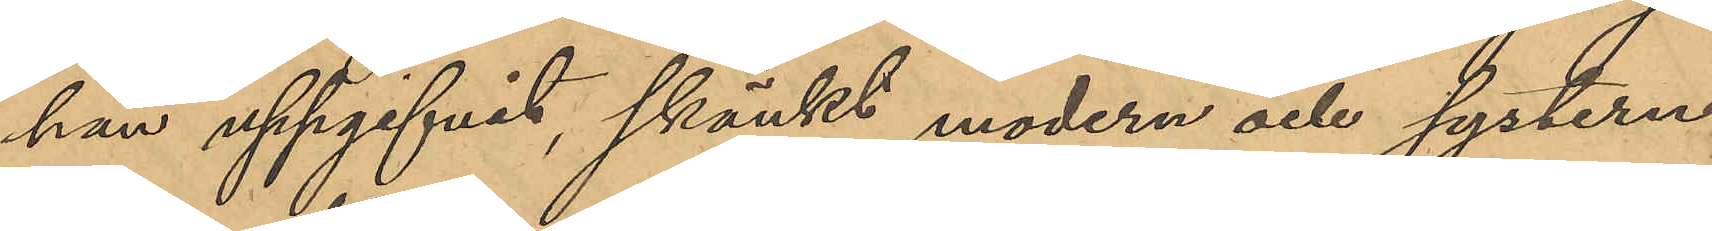han uppgifvit, skänkt modern och systern
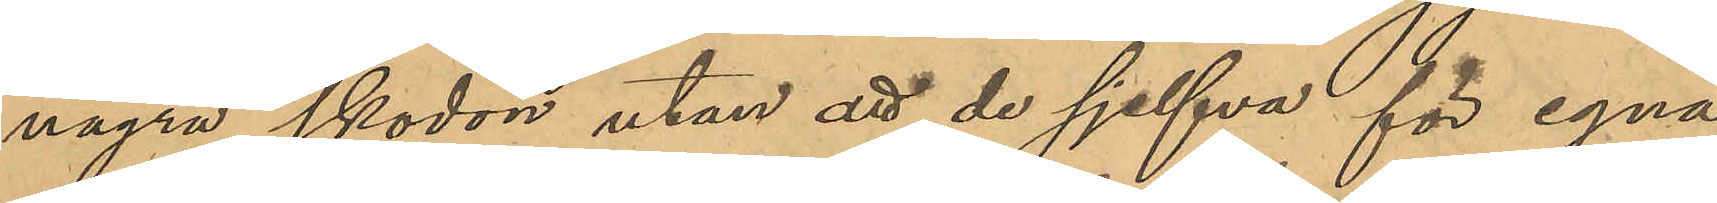några skodon utan att de sjelfva för egna
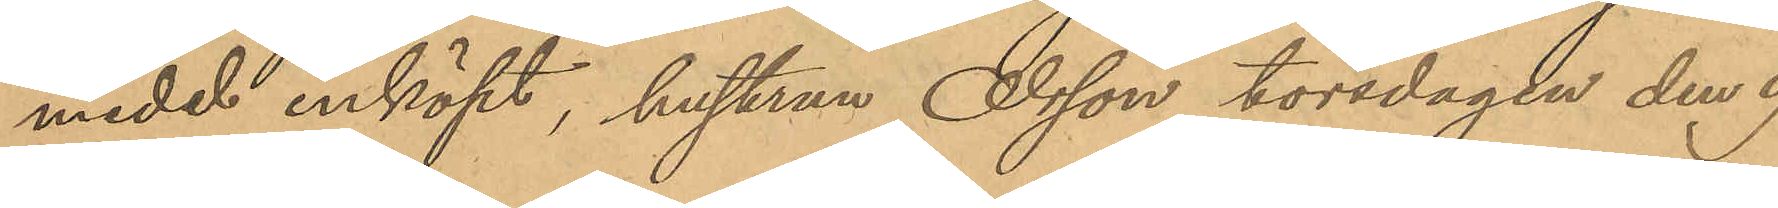medel inköpt, hustrun Olsson torsdagen den 9
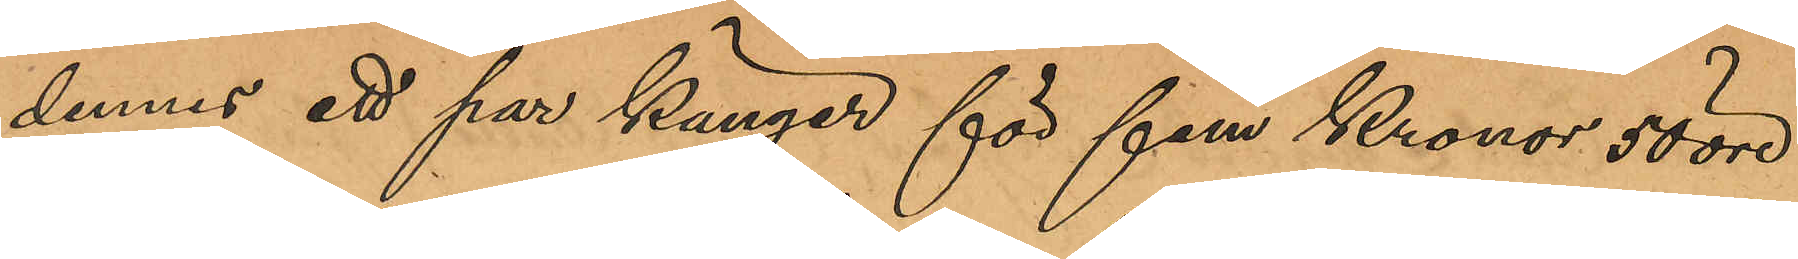dennes ett par kängor för fem Kronor 50 öre
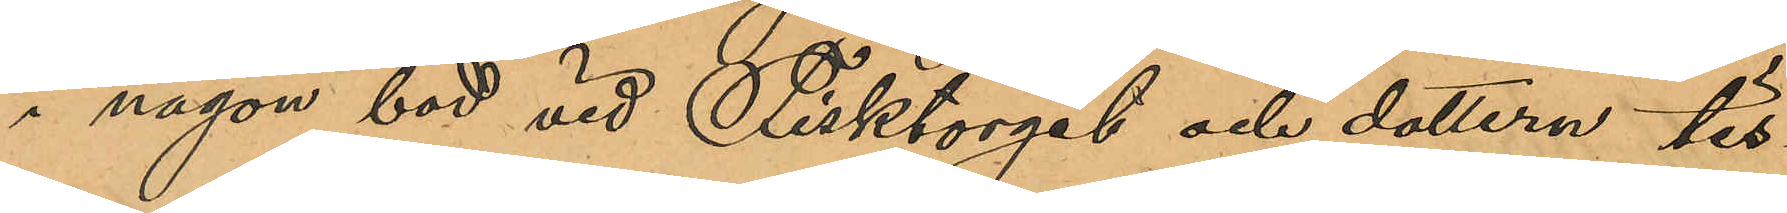i någon bod vid Fisktorget och dottern tis¬
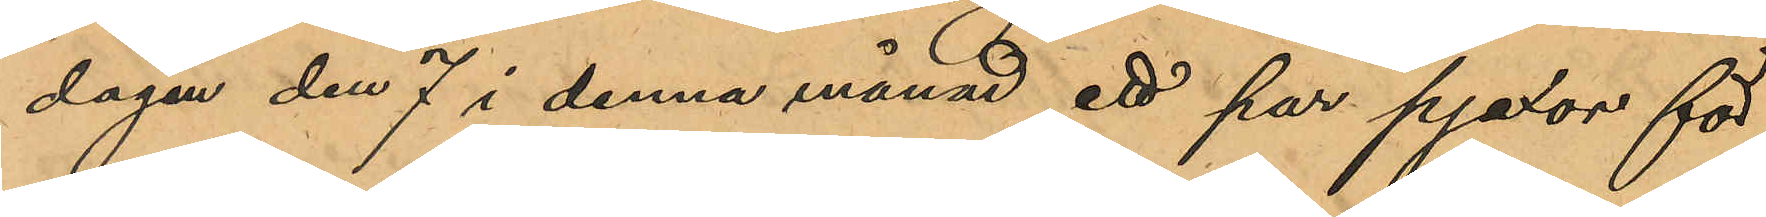dagen den 7 i denna månad ett par pjexor för
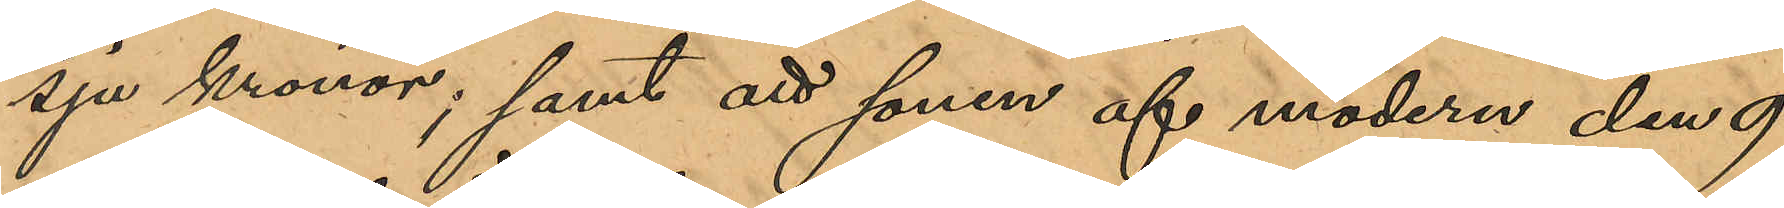sju kronor; samt att sonen af modern den 9
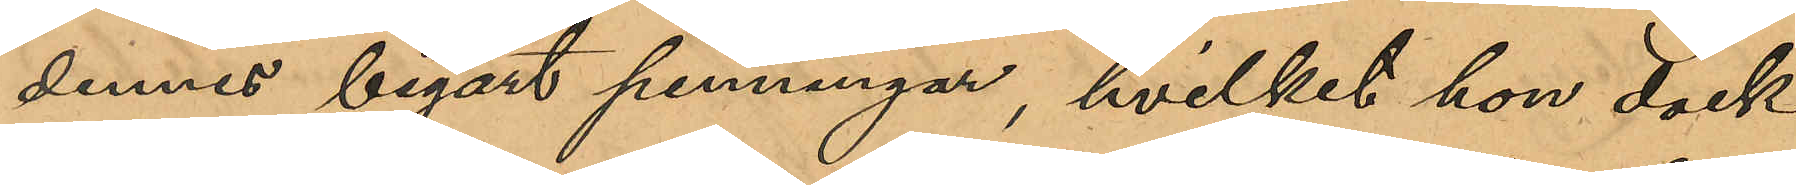dennes begärt penningar, hvilket hon dock
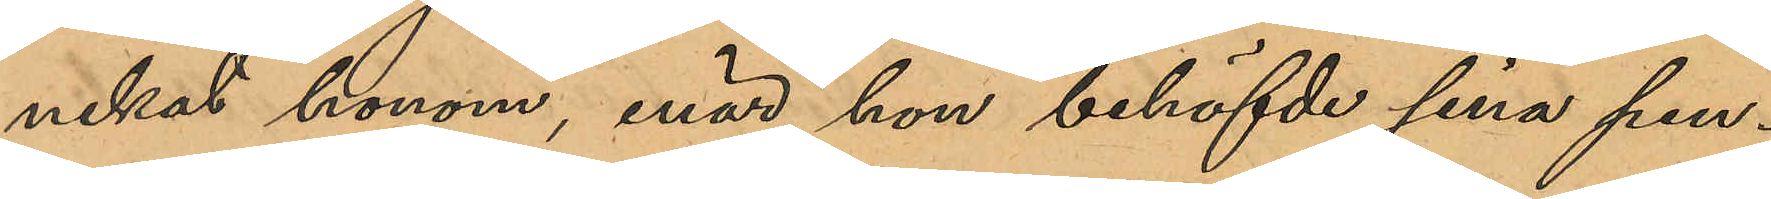nekat honom, enär hon behöfvde sina pen¬
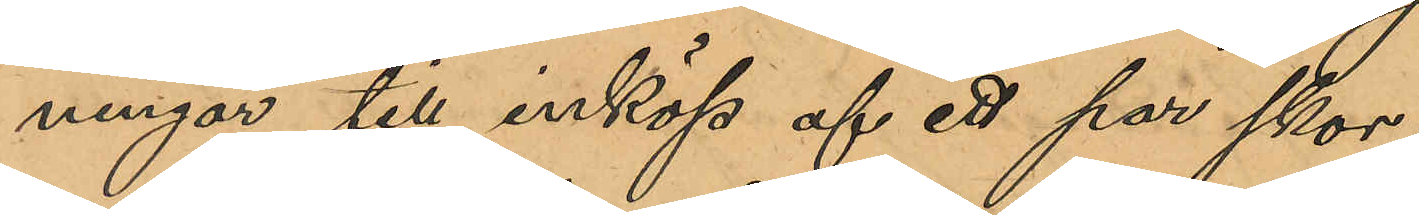ningar till inköp af ett par skor;
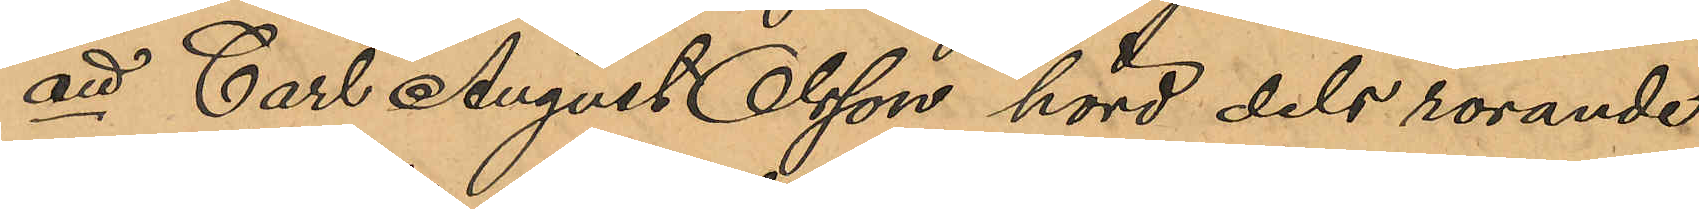att Carl August Olsson hörd dels rörande
